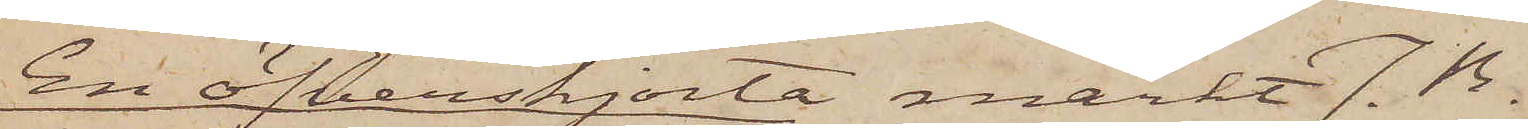En öfverskjorta märkt J. B.
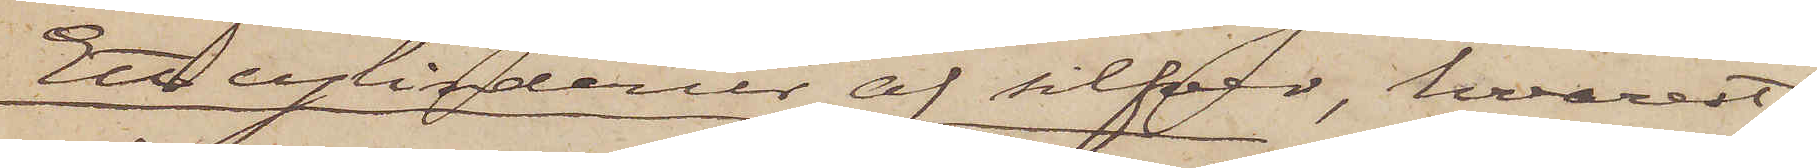Ett cylinderur af silfver, hvarest
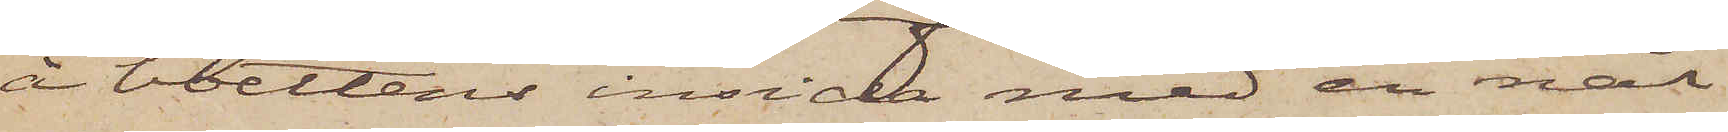å boettens insida med en nål
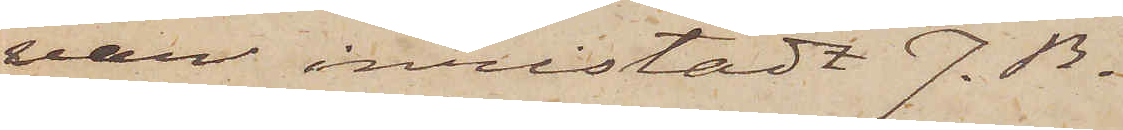var inristadt J. B.
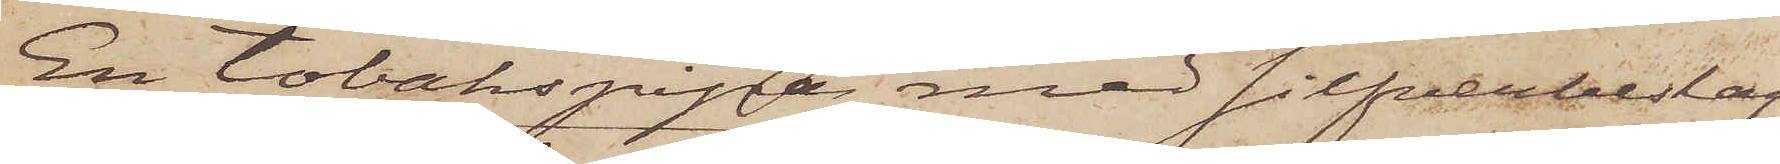En tobakspipa med silfverbeslag
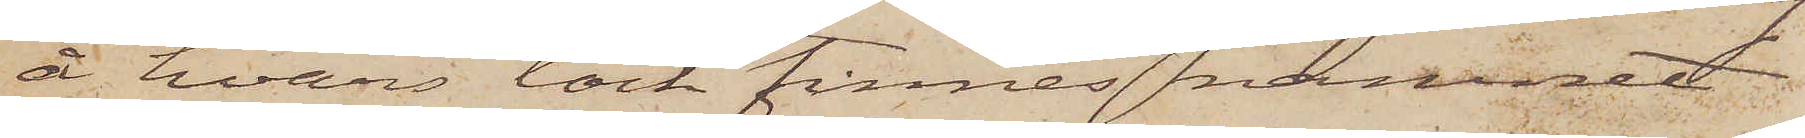å hvars lock finnes namnet
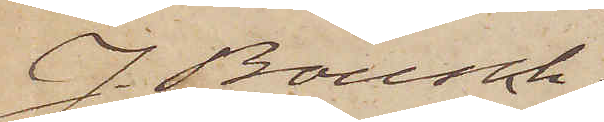J. Bousch;
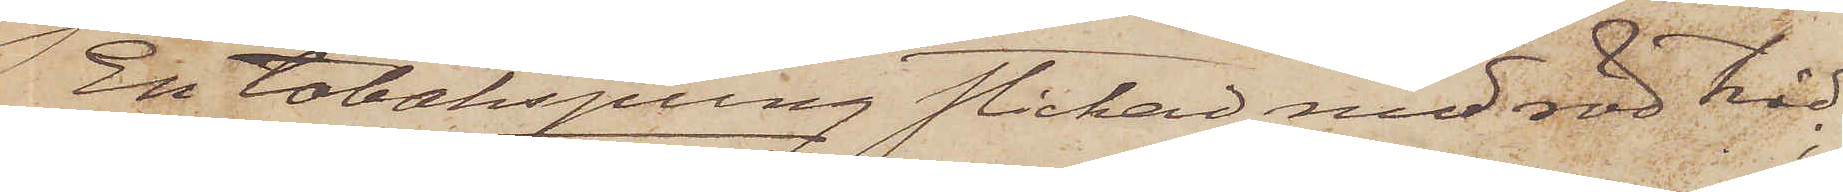En tobakspung stickad med röd tråd;
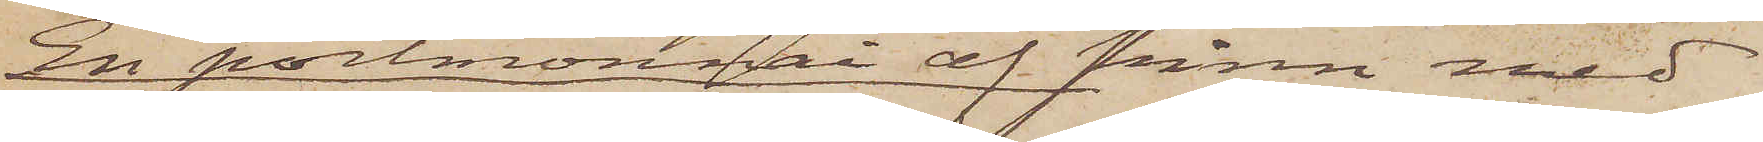En portmonnai af skinn med
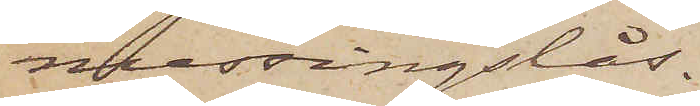messingslås.
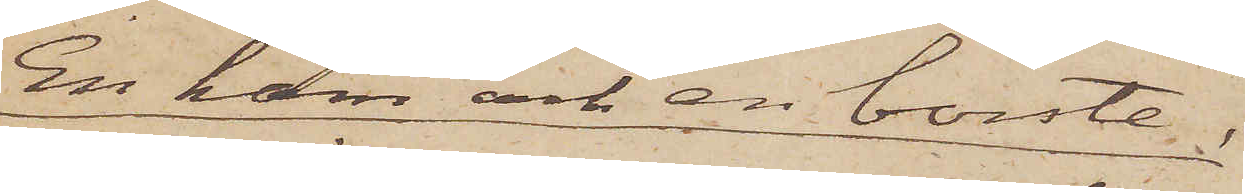En kam och en borste;
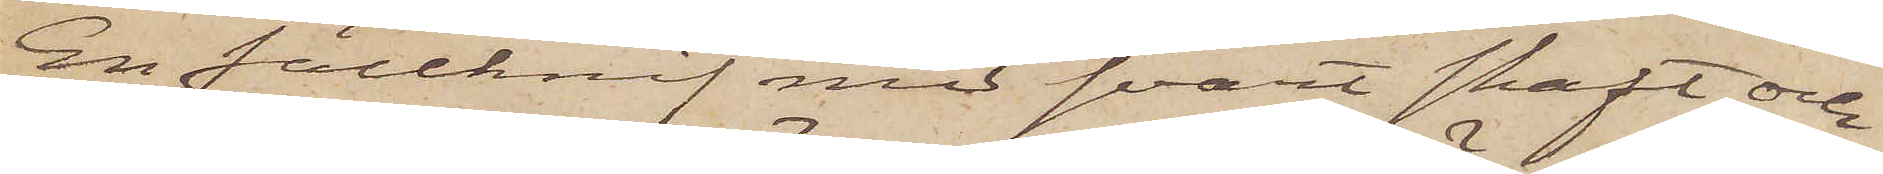En fällknif med svart skaft och
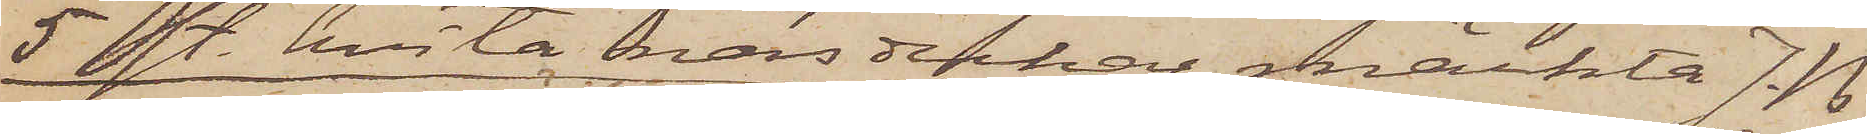5 st. hvita näsdukar, märkta J. B
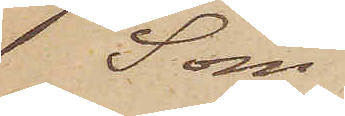Som
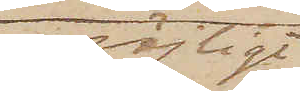möjligt
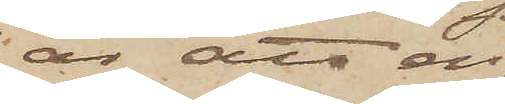är att en
